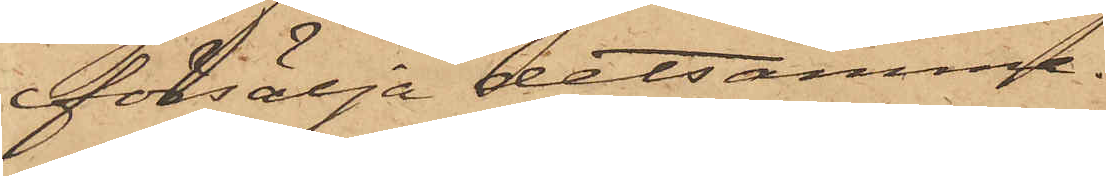försälja detsamma.
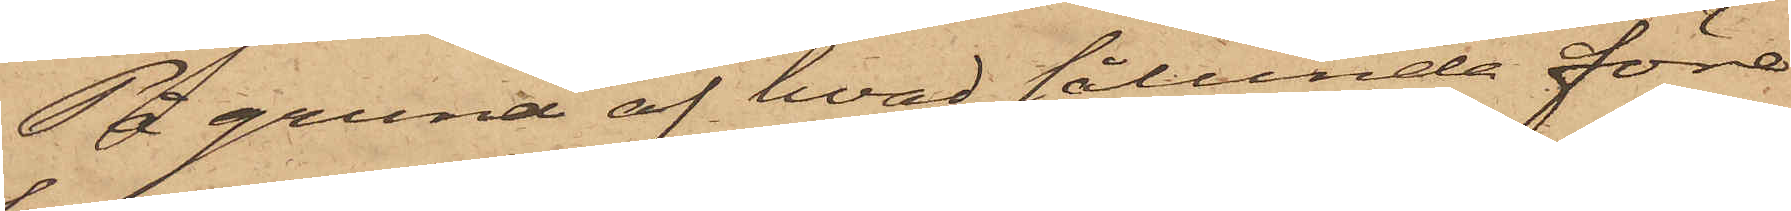På grund af hvad sålunda före¬
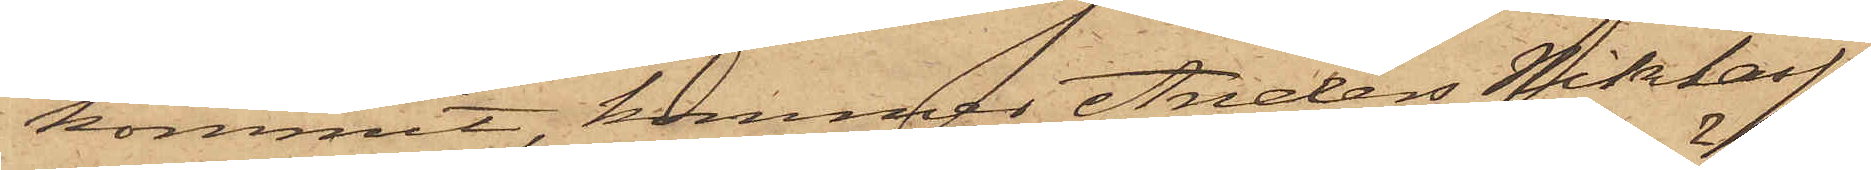kommit, kommer Anders Niklasson,
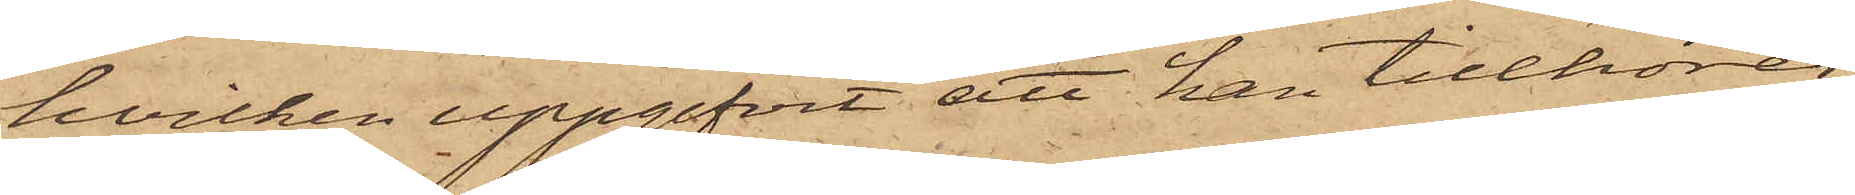hvilken uppgifvit att han tillhörer
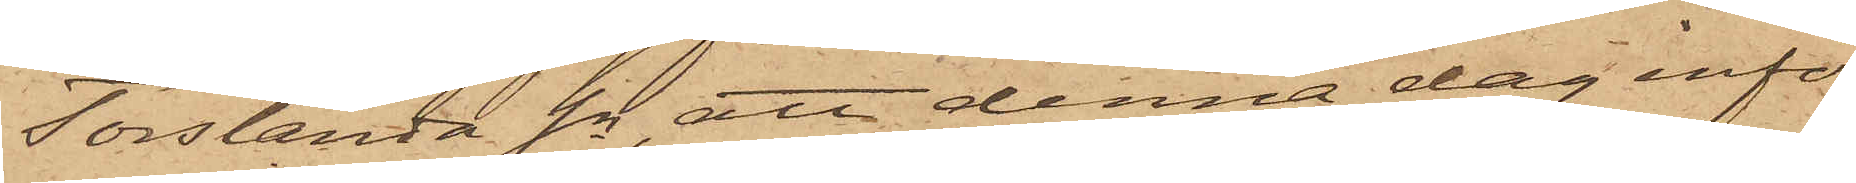Torslanda Sn, att denna dag inför
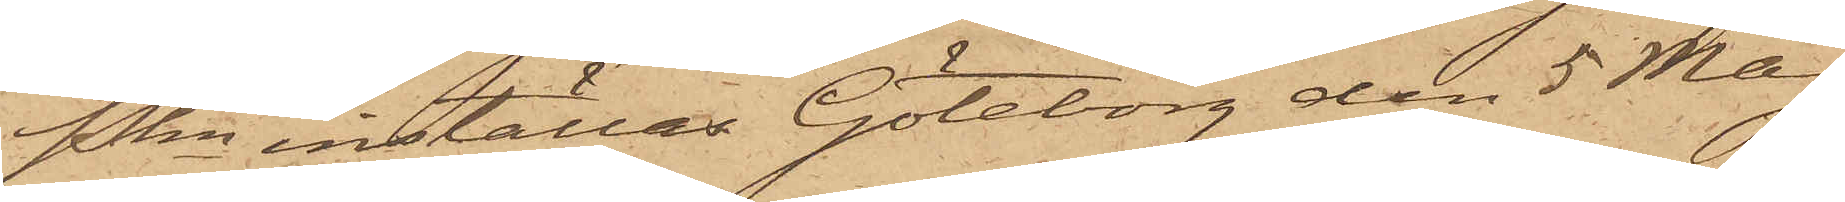Pkn inställas. Göteborg den 5 Maj
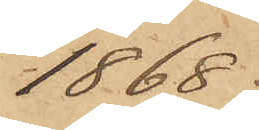1868.
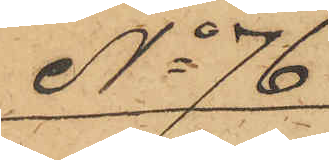No 76
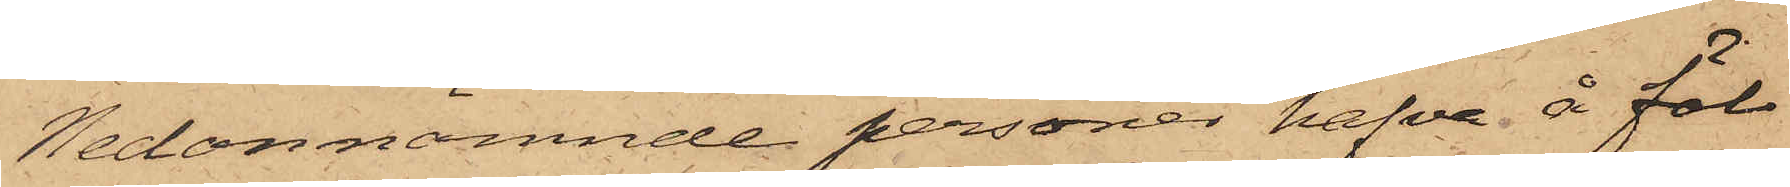Nedannämnde personer hafva å föl¬
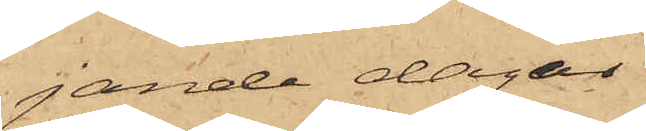jande dagar
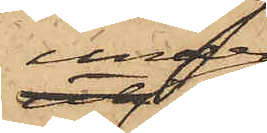under
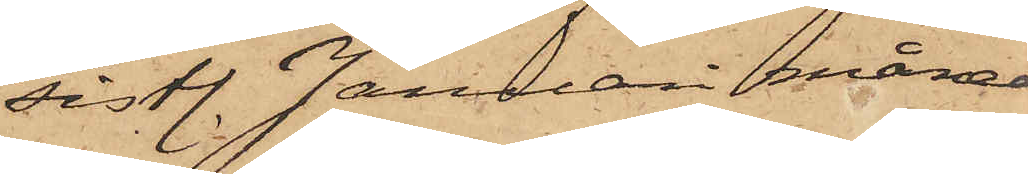sistl. Januari månad
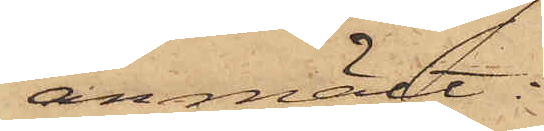anmält:
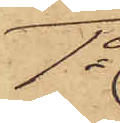1o
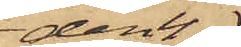den 4
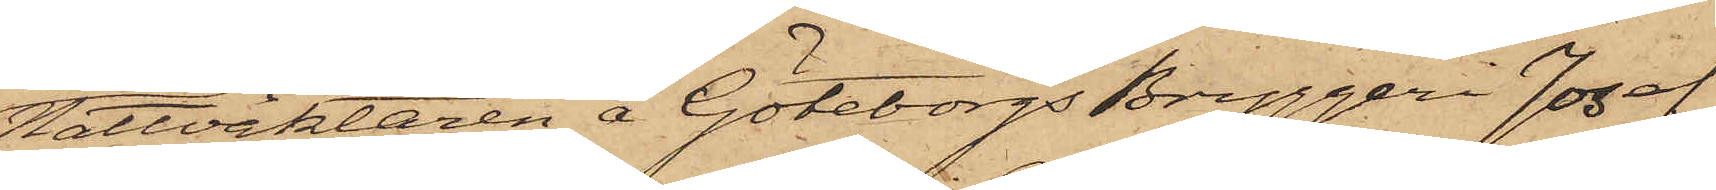Nattväktaren å Göteborgs Bryggeri Josef
